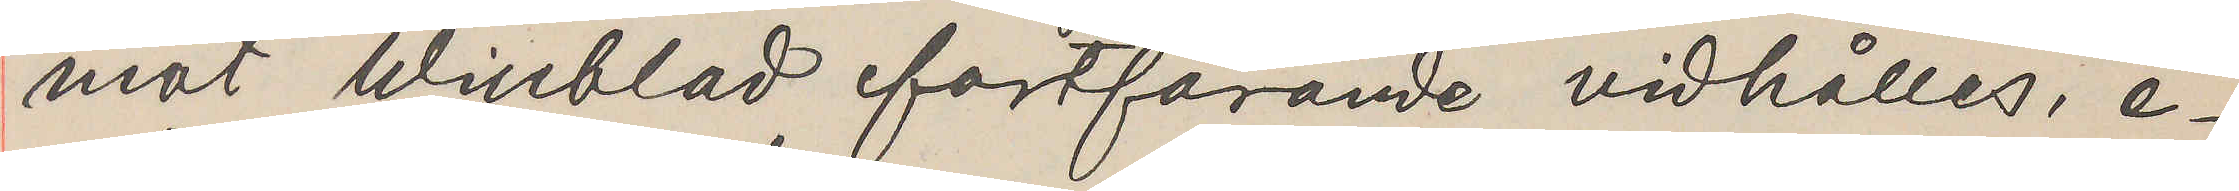mot Winblad fortfarande vidhälles, e¬
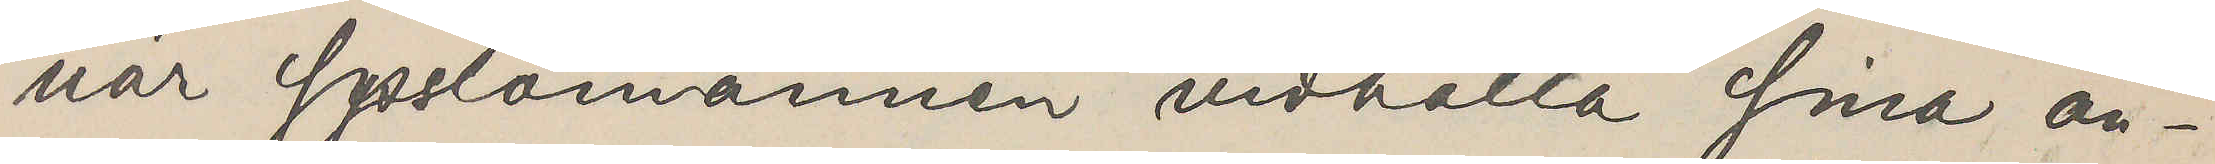när Sysslomännen vidhålla sina an¬
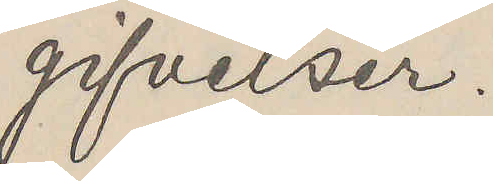gifvelser.
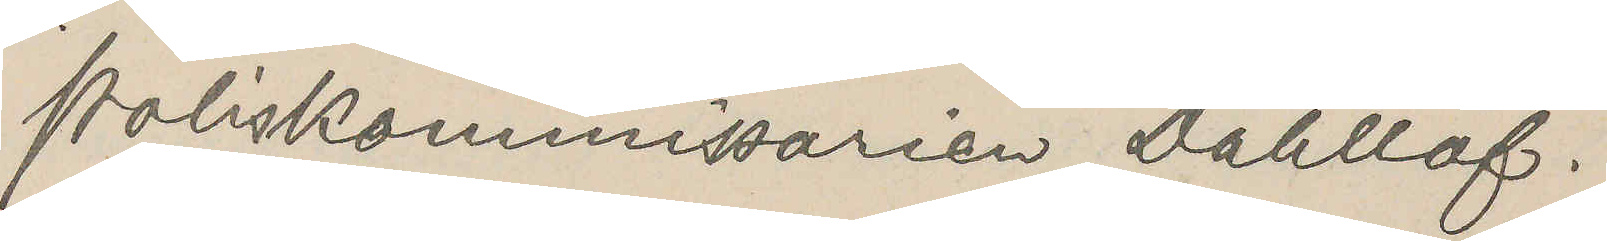Poliskommissarien Dahllöf.
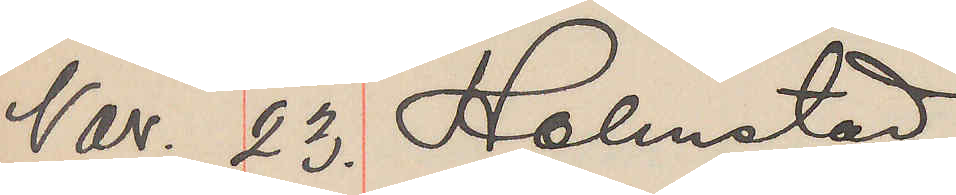Nov. 23. Halmstad
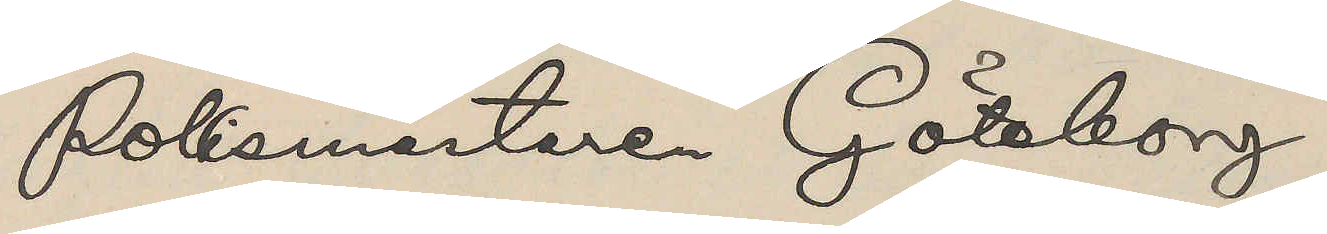Polismästare Göteborg
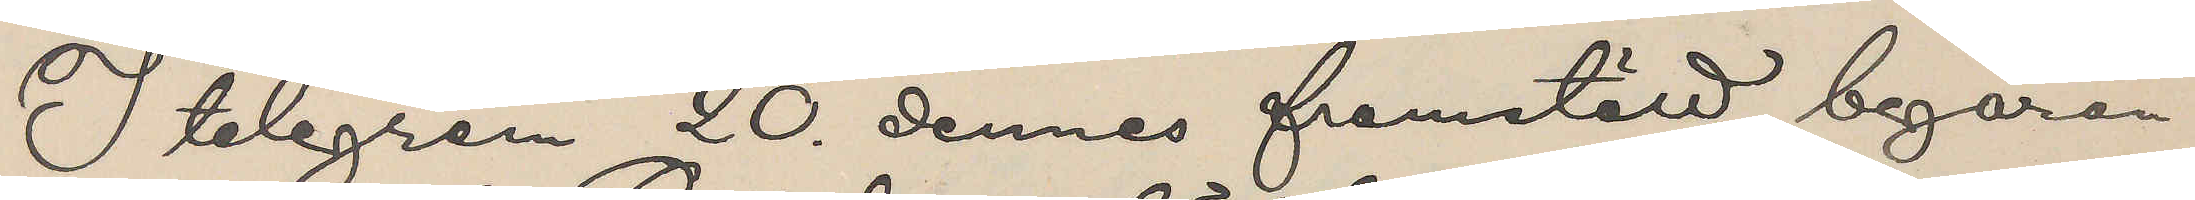I telegram 20. dennes framstäld begäran
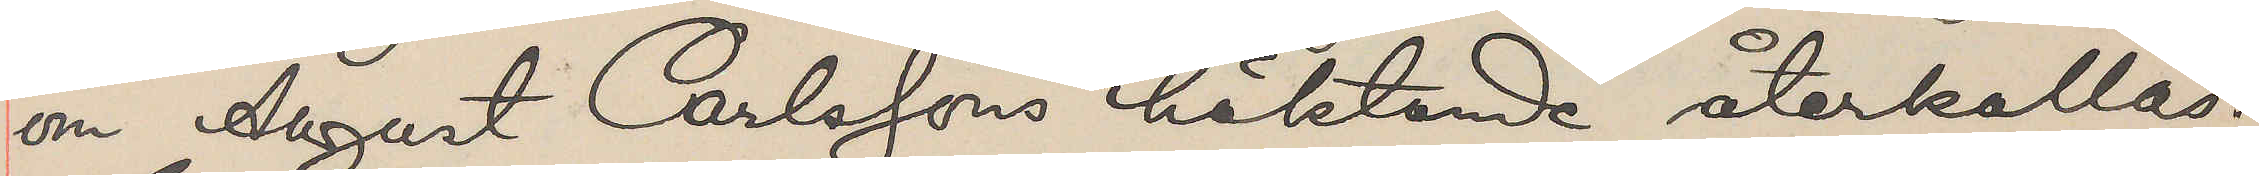om August Carlssons häktande återkallas.
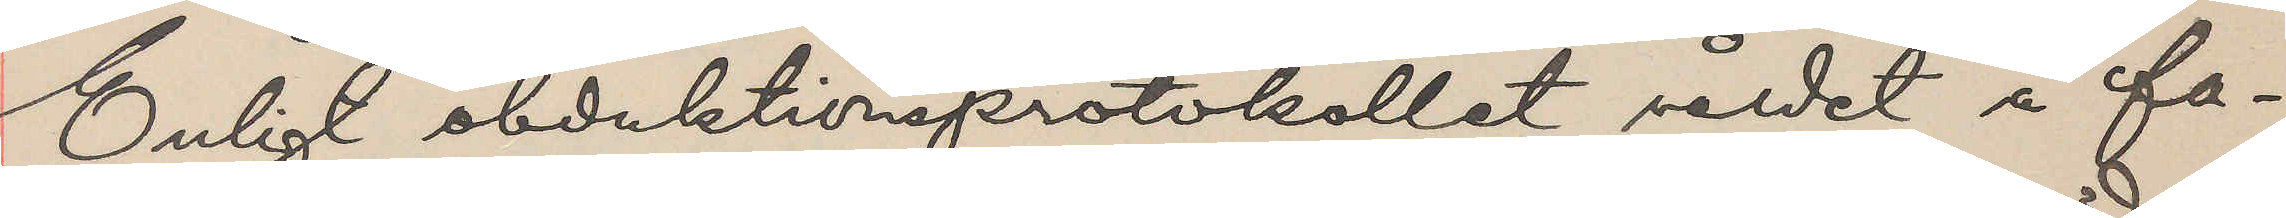Enligt obduktionsprotokollet våldet å fa¬
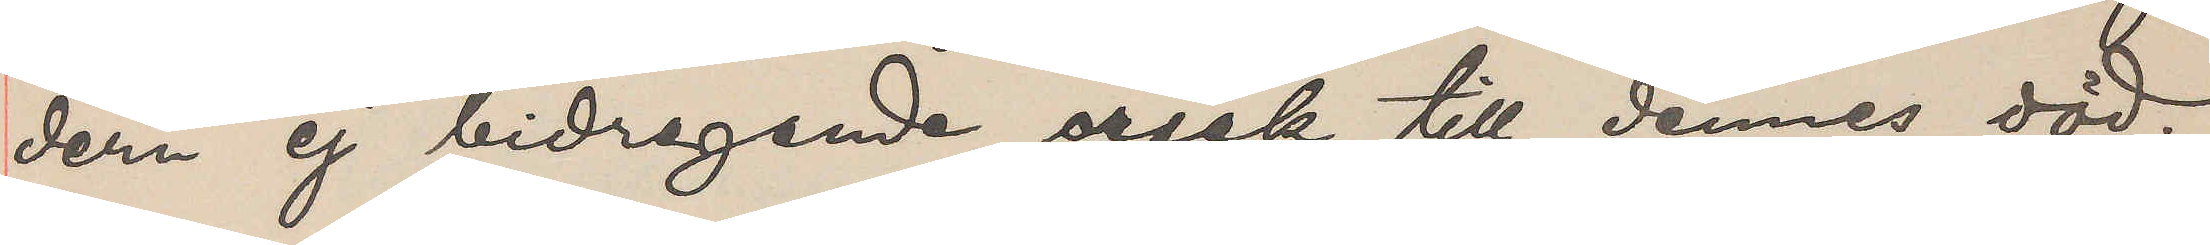dern ej bidragande orsak till dennes död.
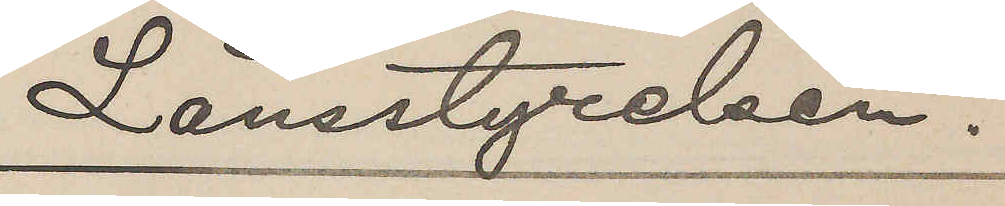Länsstyrelen.
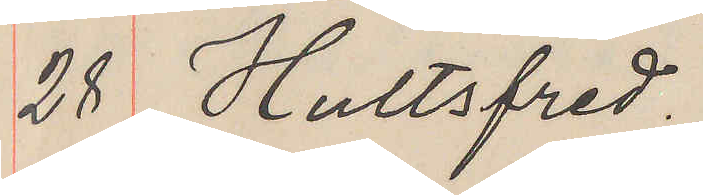28 Hultsfred.
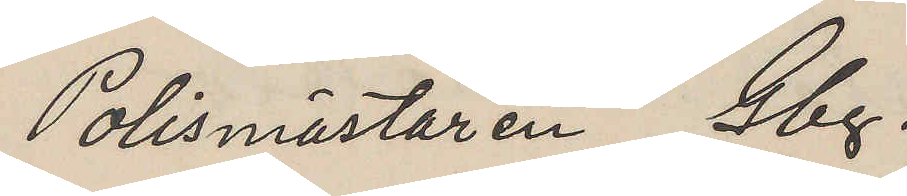Polismästaren Gbg.
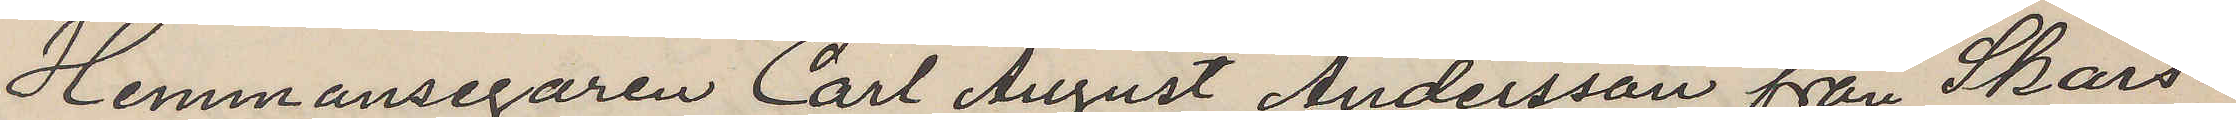Hemmansegaren Carl August Andersson från Skärs¬
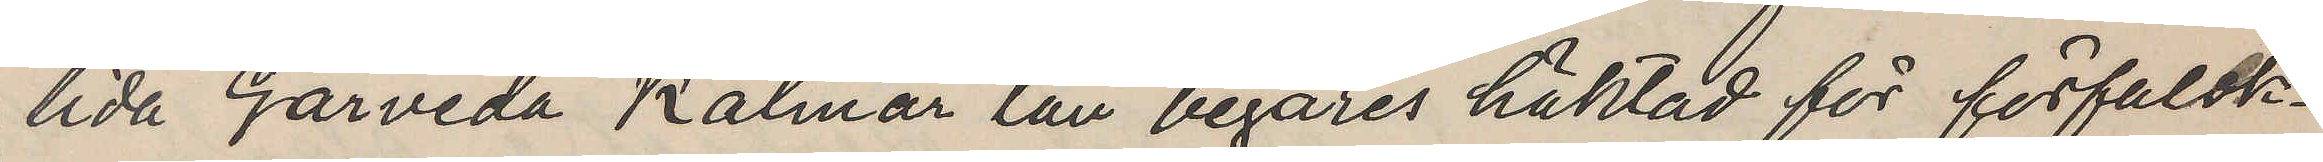lida Gårveda Kalmar län begäres häktad för förfalsk¬
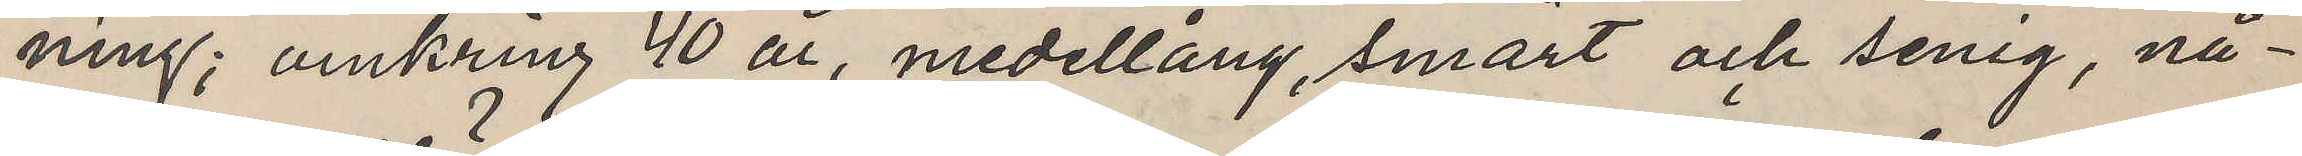ning; omkring 40 år, medellång, smärt och senig, nå¬
